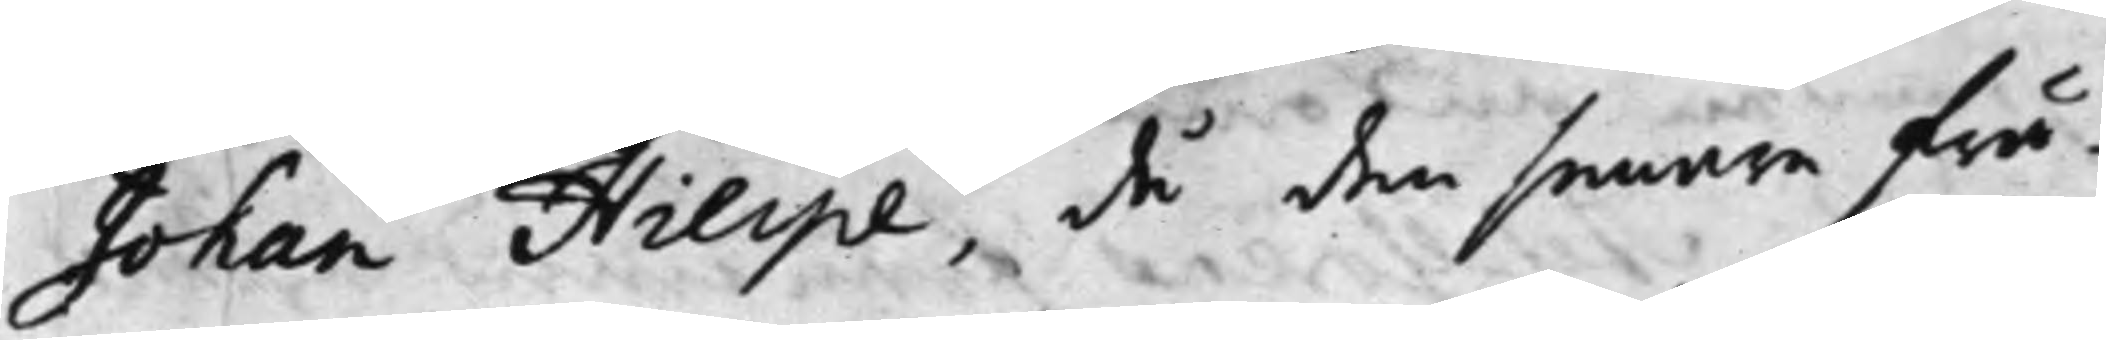Johan Hierpe, då den senare frå¬
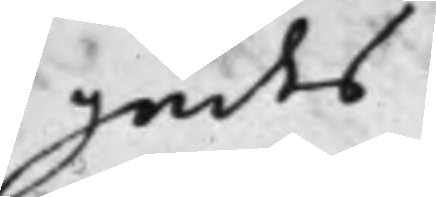gades
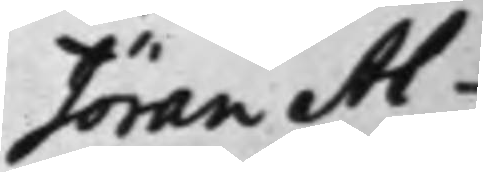Jöran Al¬
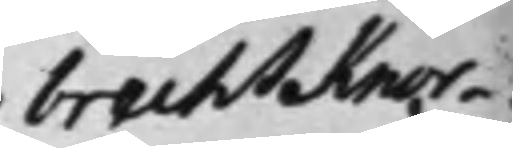brecht Knor¬
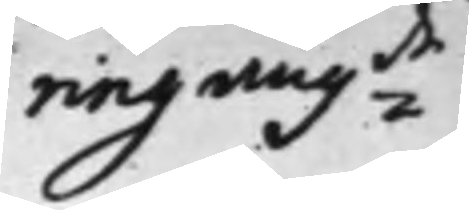ring ang:de
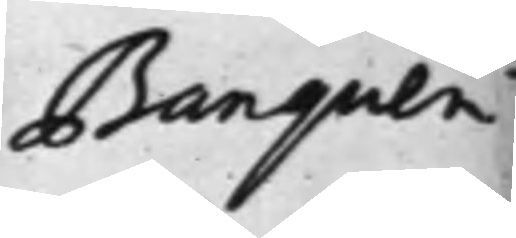Banquen
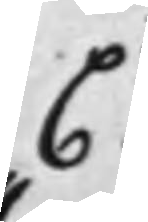C
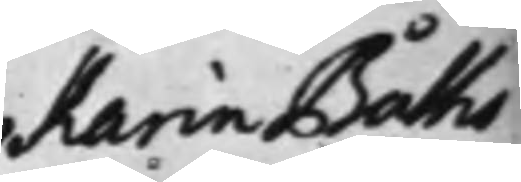Karin Båths
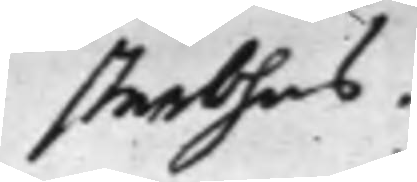sterbhus.
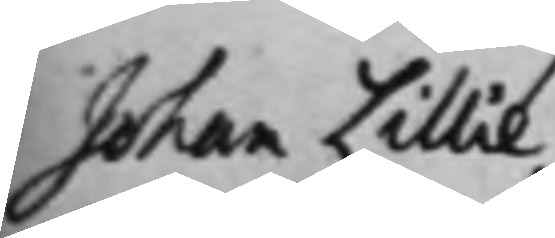Johan Lillie¬
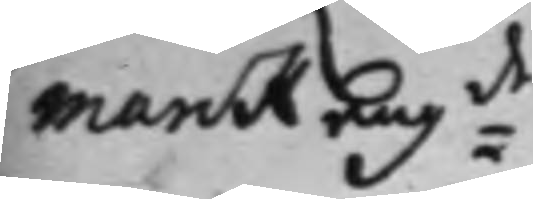marck ang:de
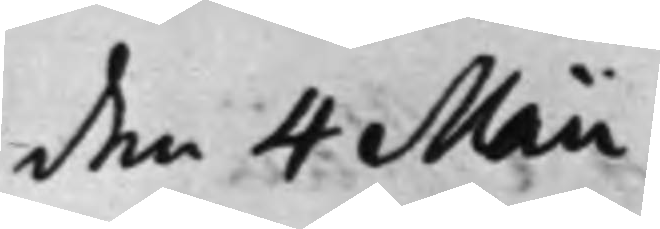den 4 Maii
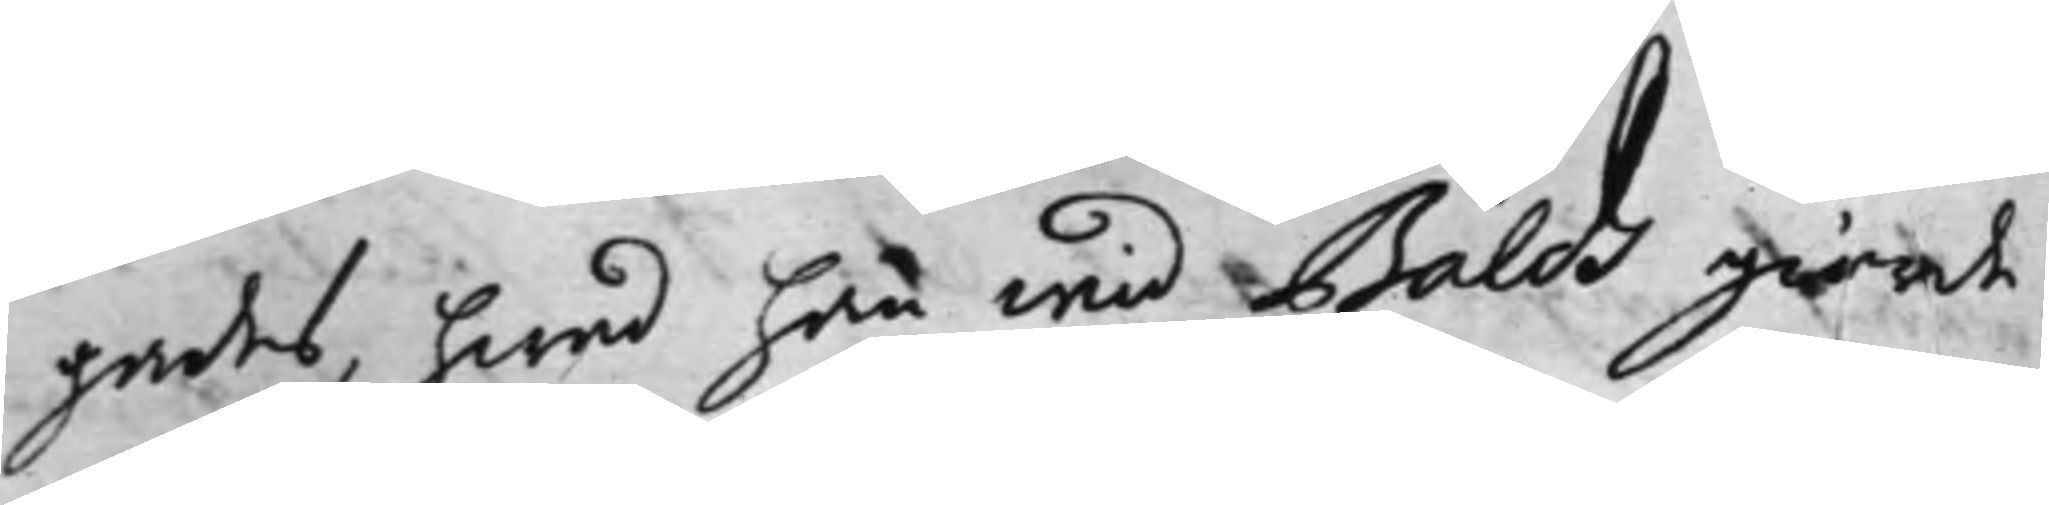gades, hwad han wid Bålds giorde
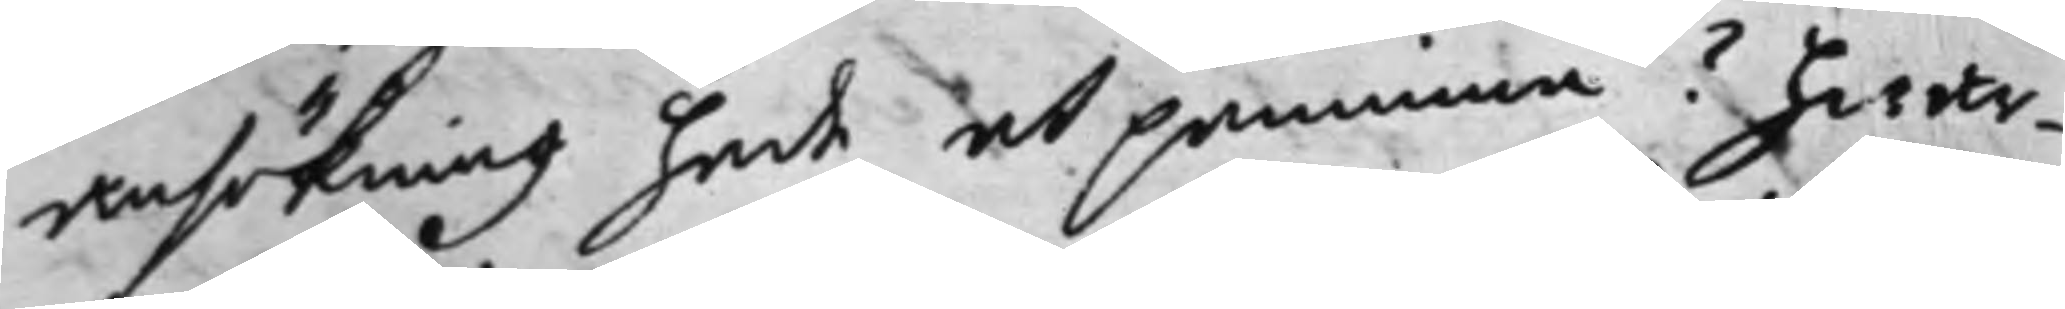ansökning hade at påminna? Hwar¬
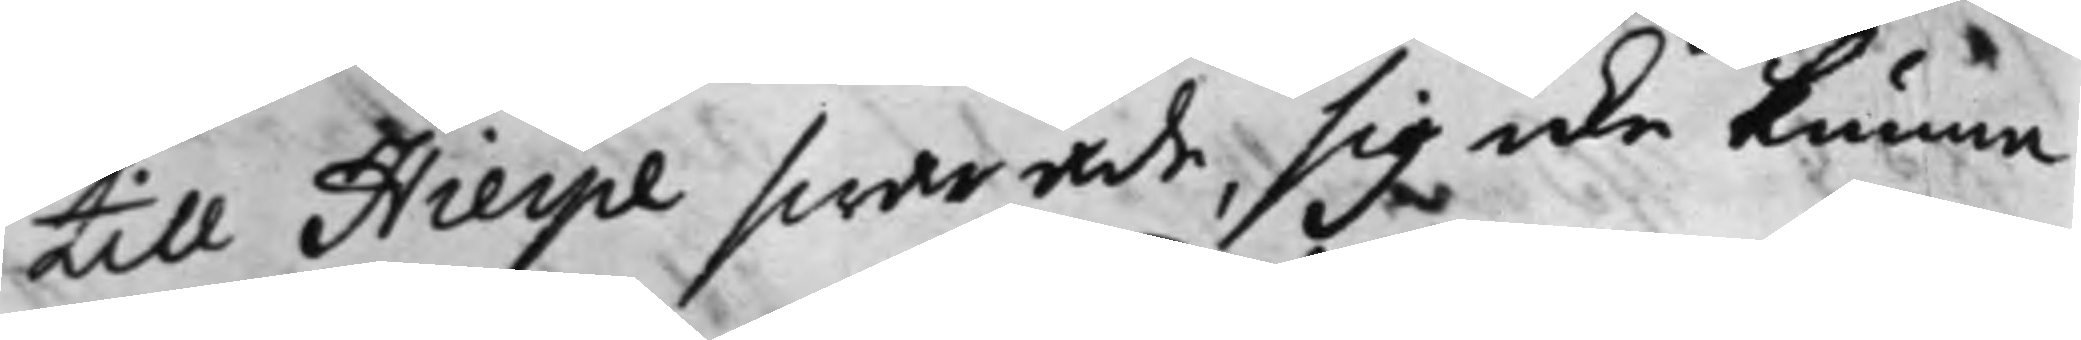till Hierpe swarade, sig icke kunna
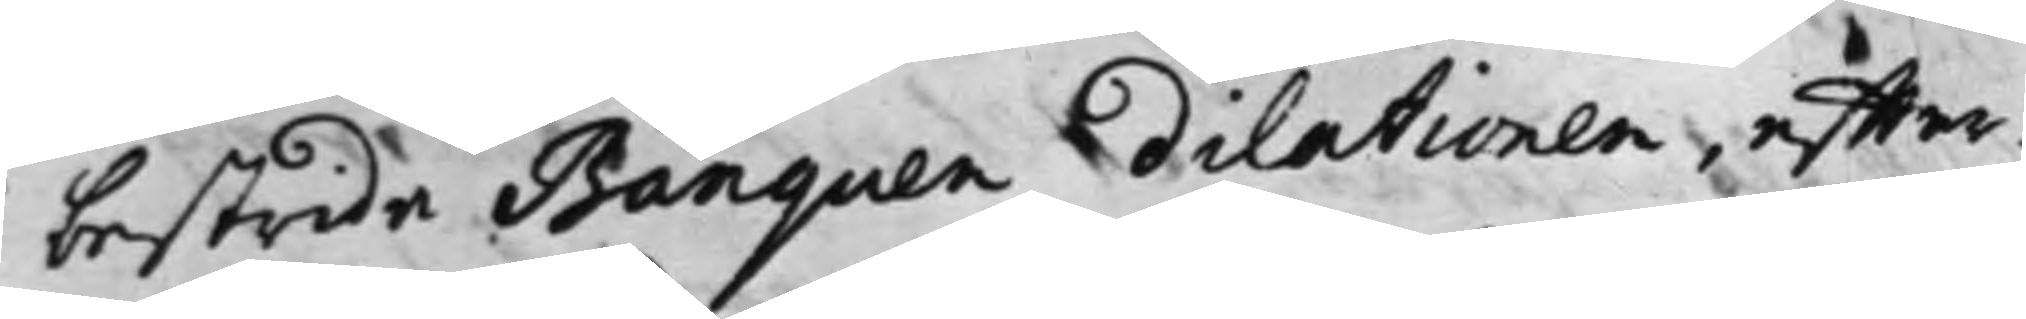bestrida Banquen dilationen, effter¬
